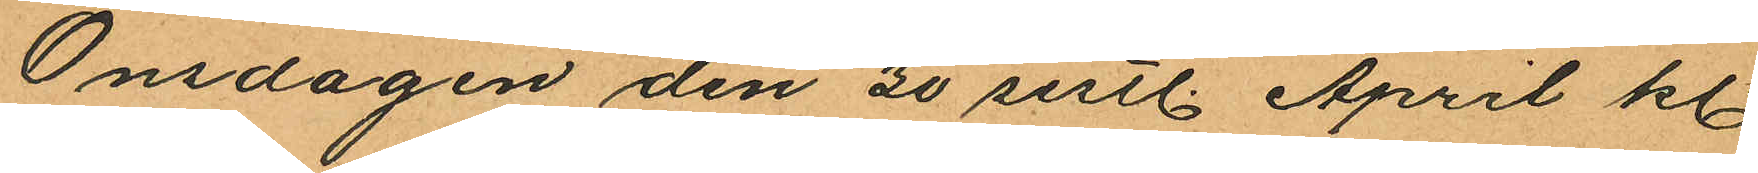Onsdagen den 30 sistl. April kl.
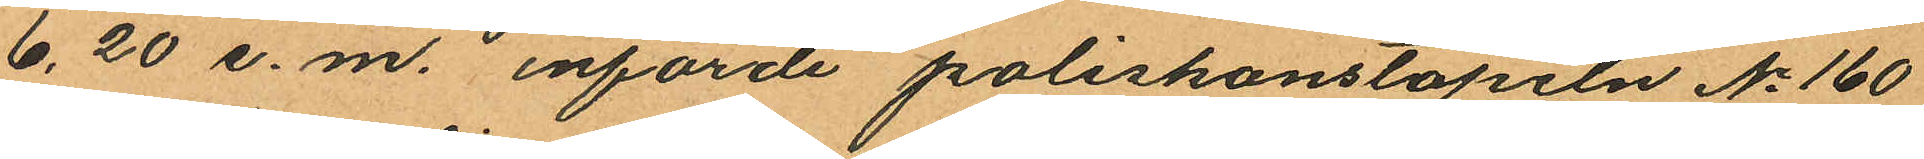6,20 e.m. införde poliskonstapeln No 160
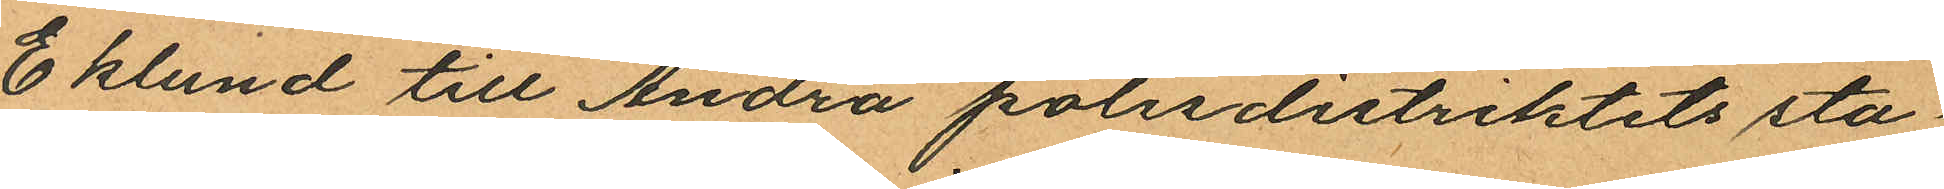Eklund till Andra polisdistriktets sta¬
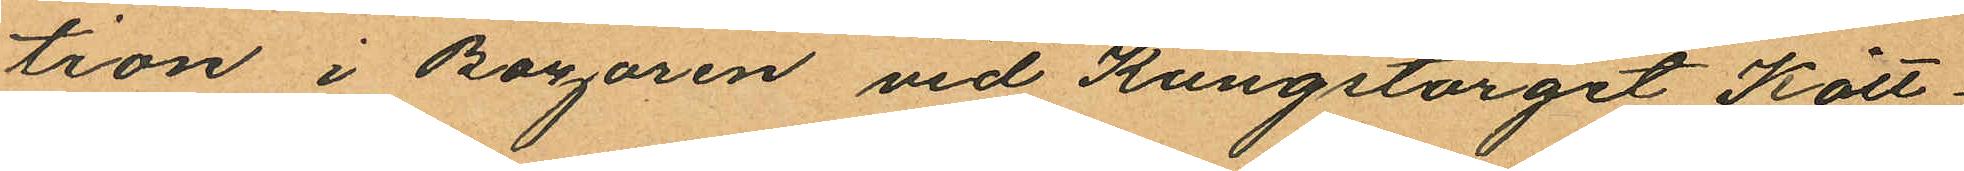tion i Bazaren vid Kungstorget, Kött¬
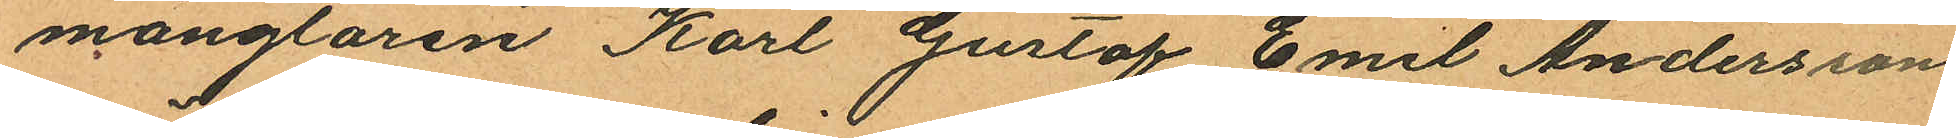månglaren Karl Gustaf Emil Andersson
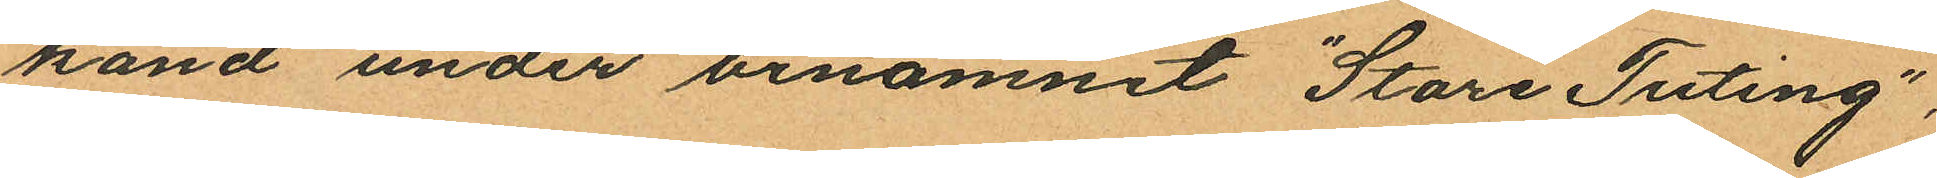känd under binamnet "Store Tuting",
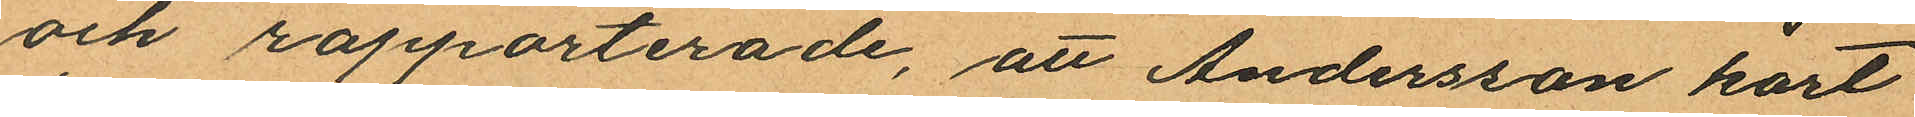och rapporterade, att Andersson kort
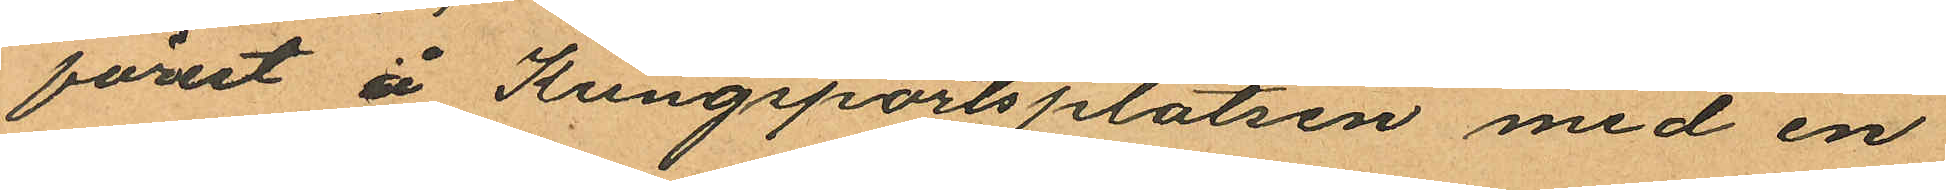förut å Kungsportsplatsen med en
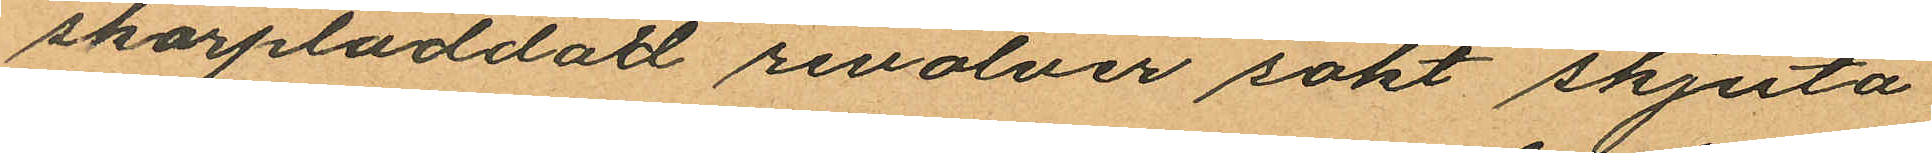skarpladdad revolver sökt skjuta
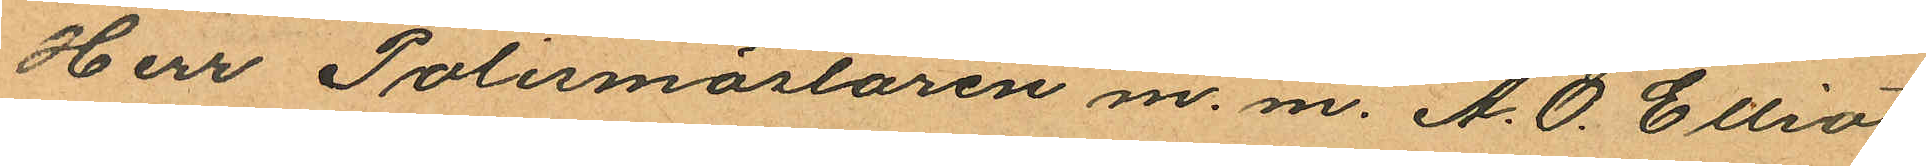Herr Polismästaren m. m. A.O. Elliot
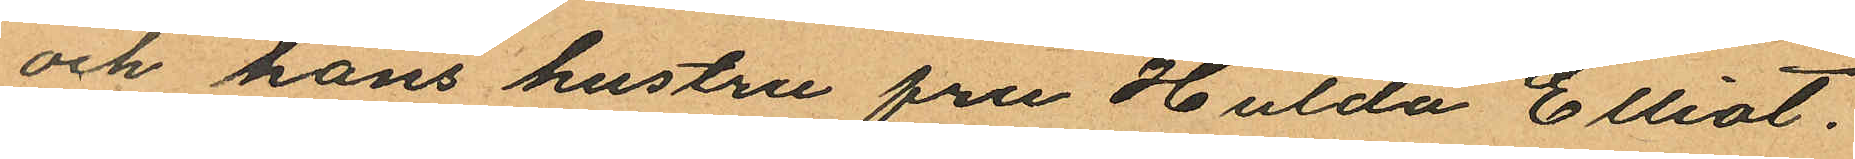och hans hustru fru Hulda Elliot.
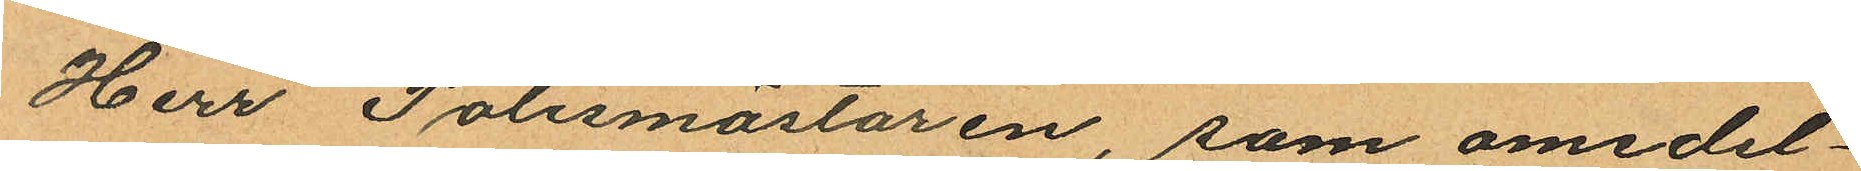Herr Polismästaren, som omedel¬
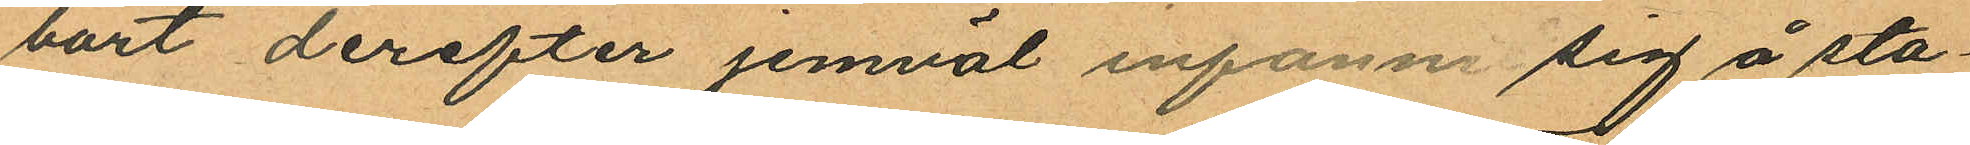bort derefter jemväl infann sig å sta¬
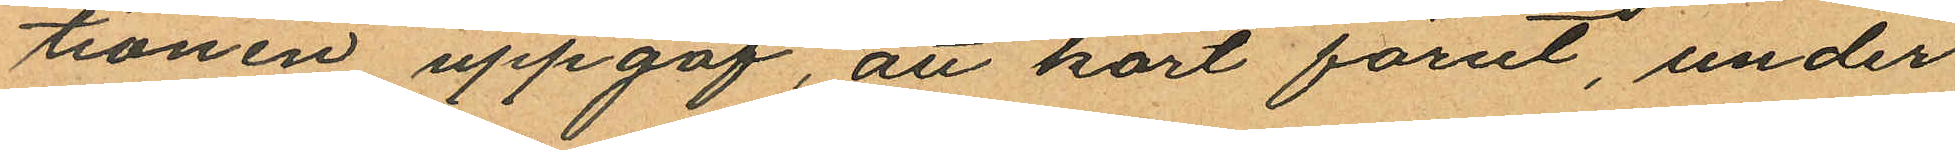tionen uppgaf, att kort förut, under
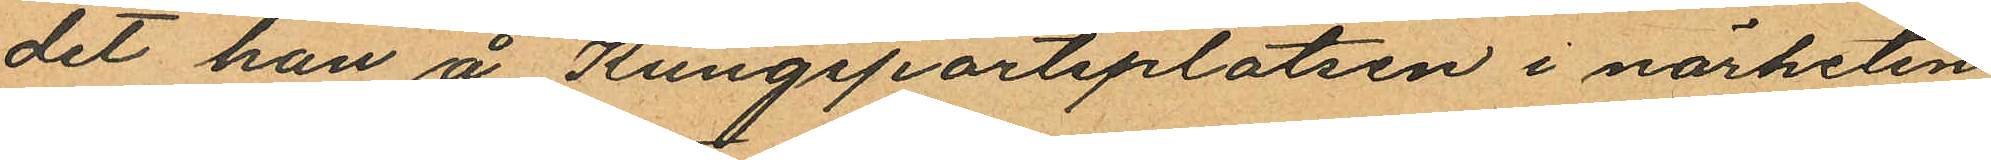det han å Kungsportsplatsen i närheten
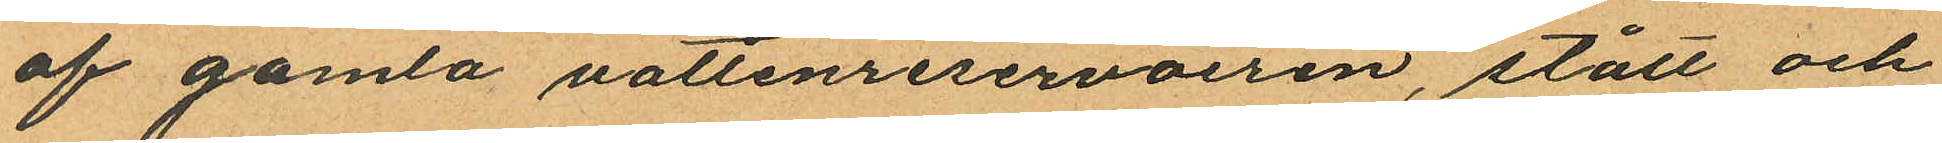af gamla nattenreservoiren, stått och
